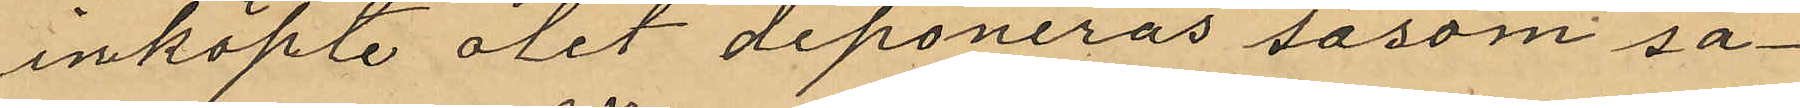inköpte ölet deponeras såsom sä¬
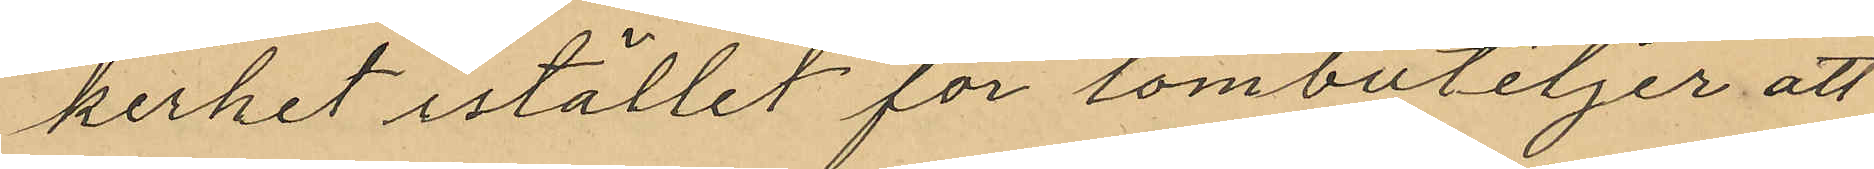kerhet istället för tombuteljer att
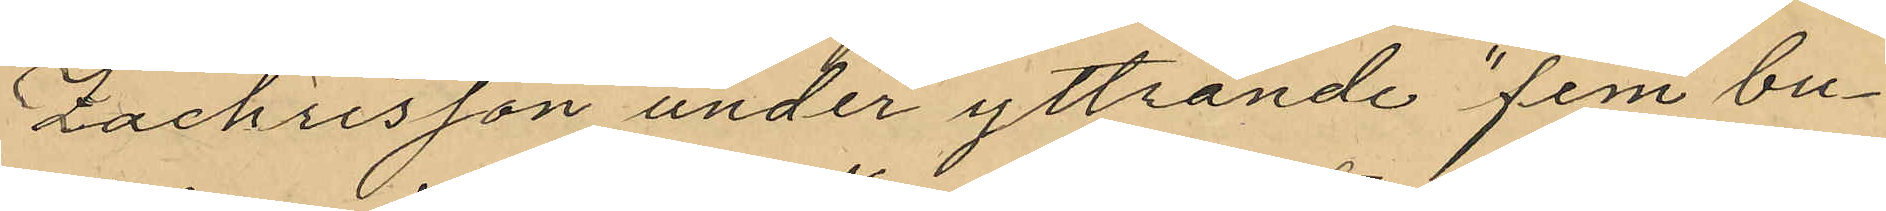Zachrisson under yttrande "fem bu¬
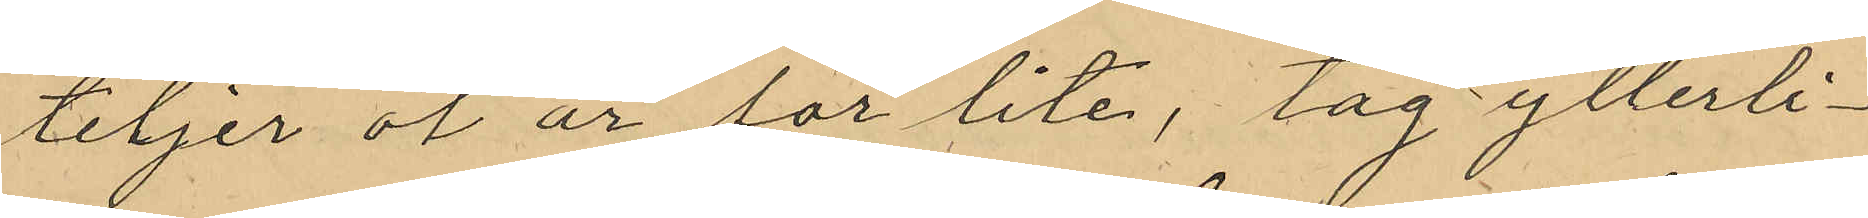tiljer öl är för lite, tag ytterli¬
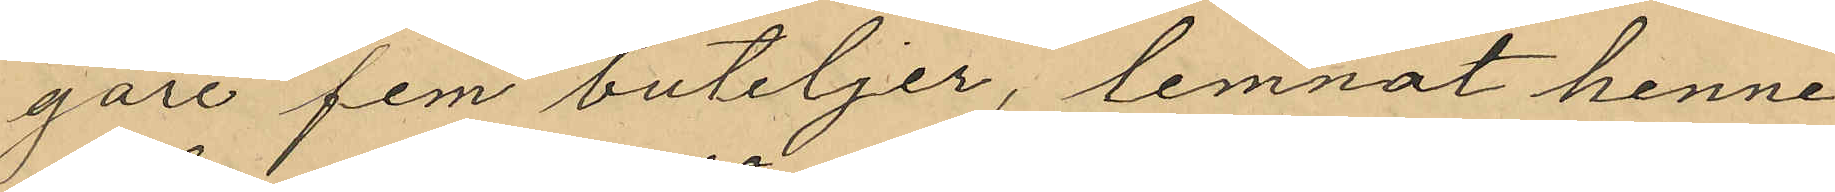gare fem buteljer", lemnat henne
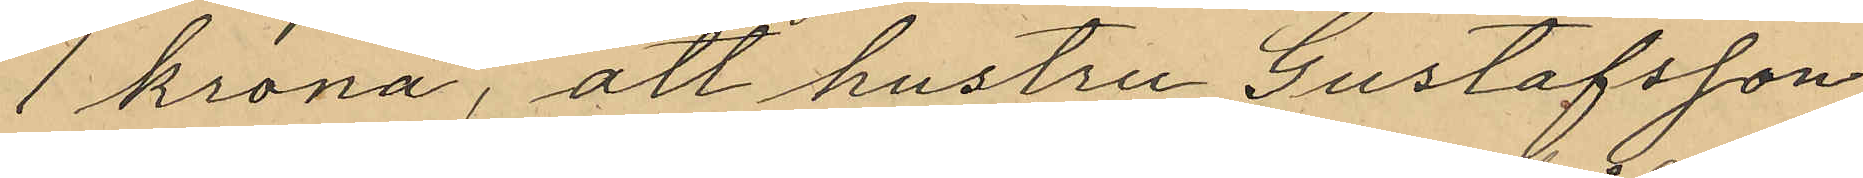1 krona, att hustru Gustafsson
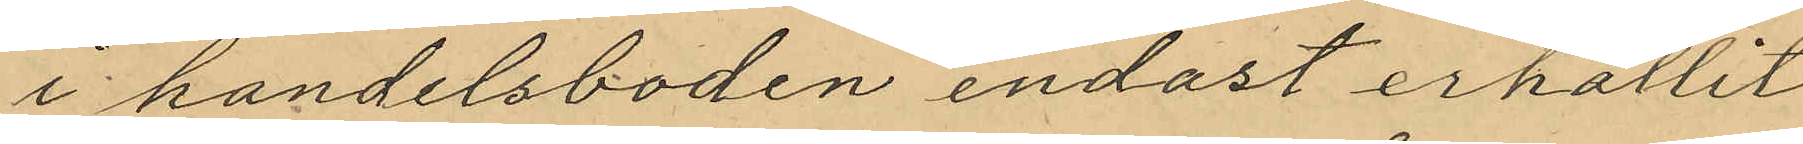i handelsboden endast erhållit
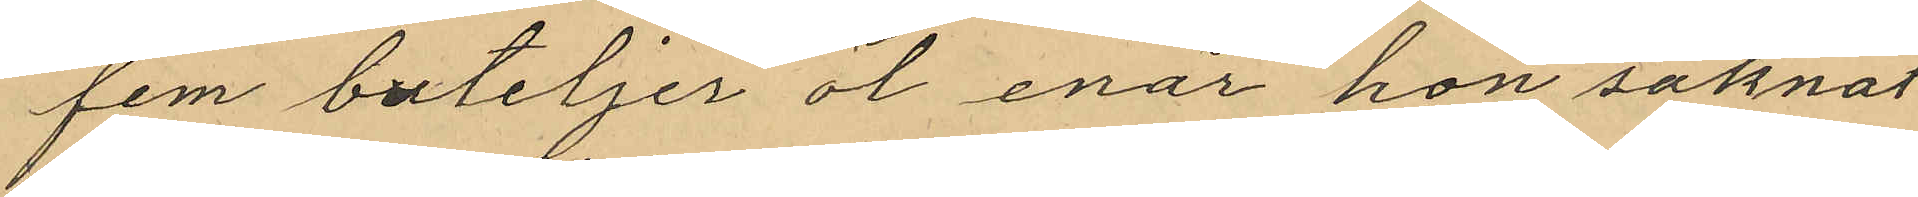fem buteljer öl enär hon saknat
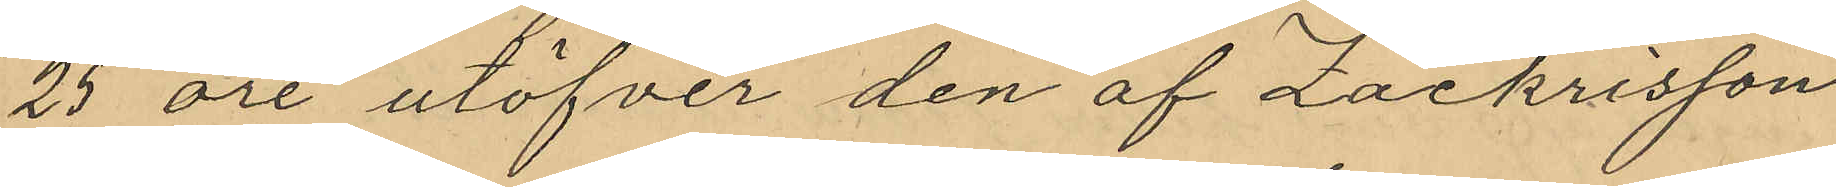25 öre utöfver den af Zachrisson
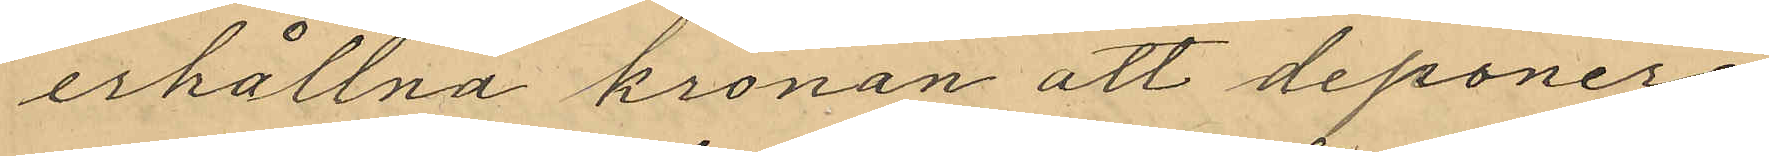erhållna kronan att deponera
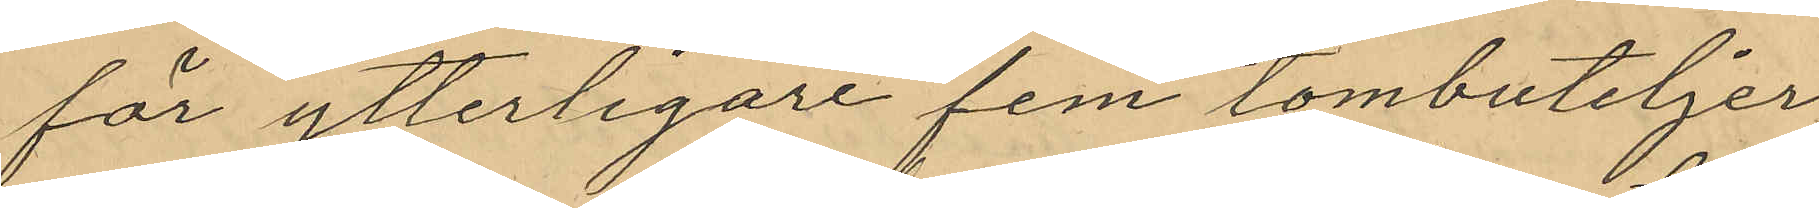för ytterligare fem tombuteljer,
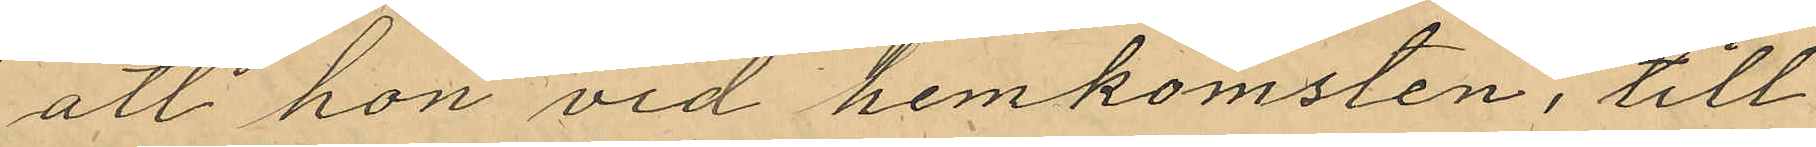att hon vid hemkomsten, till
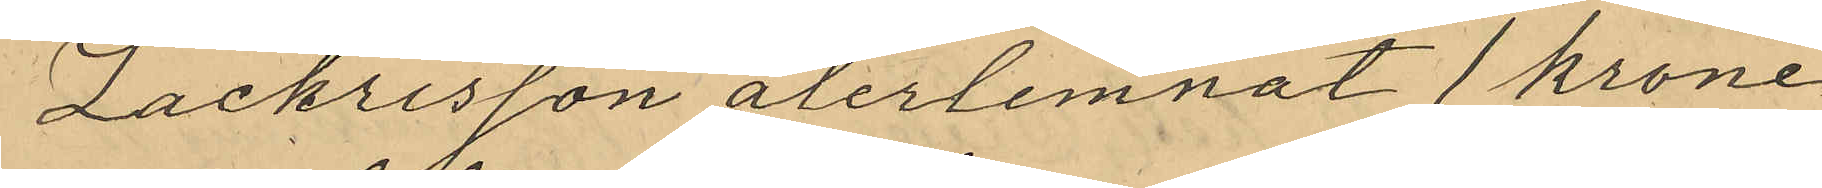Zachrisson återlemnat 1 krone¬
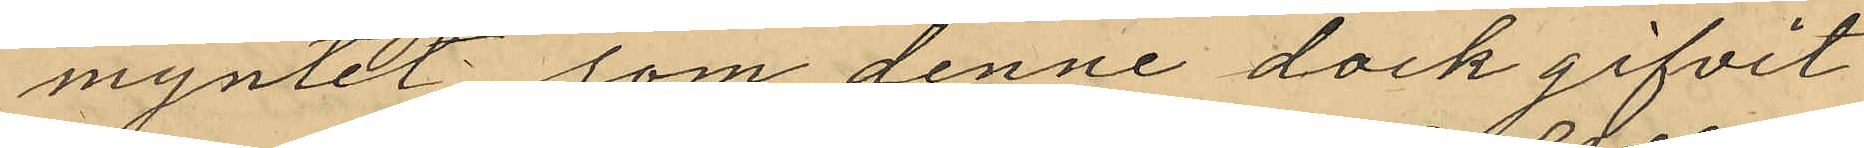myntet som denne dock gifvit
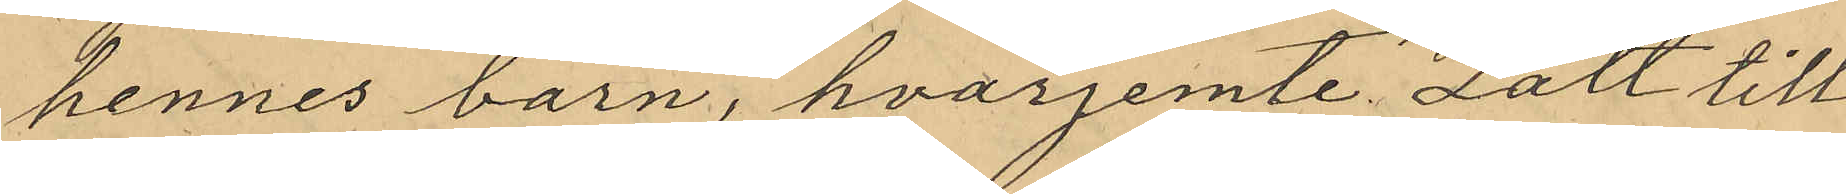hennes barn, hvarjemte Lätt till
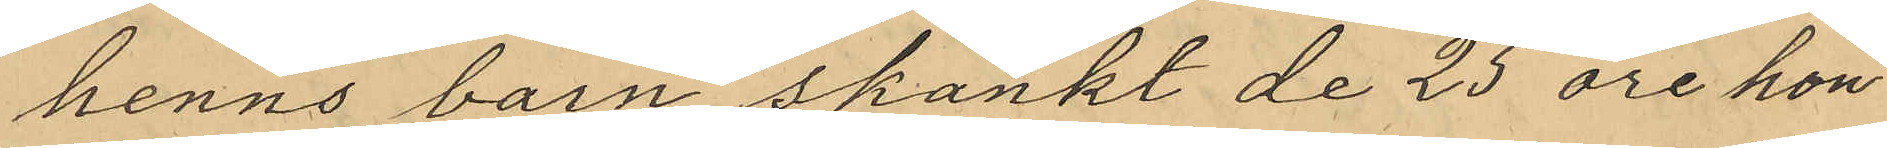henns barn skankt de 25 öre hon
